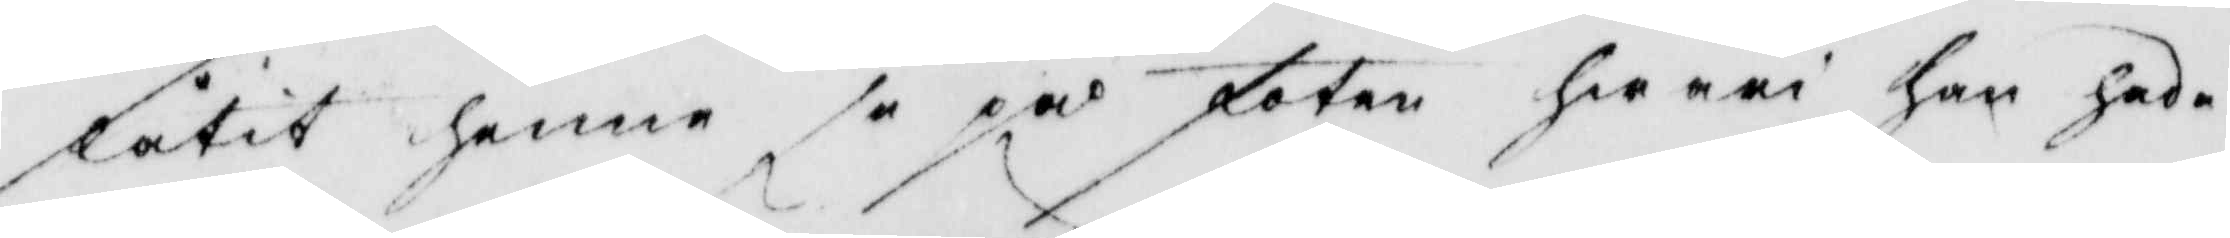låtit henne se på foten hwarit han gade
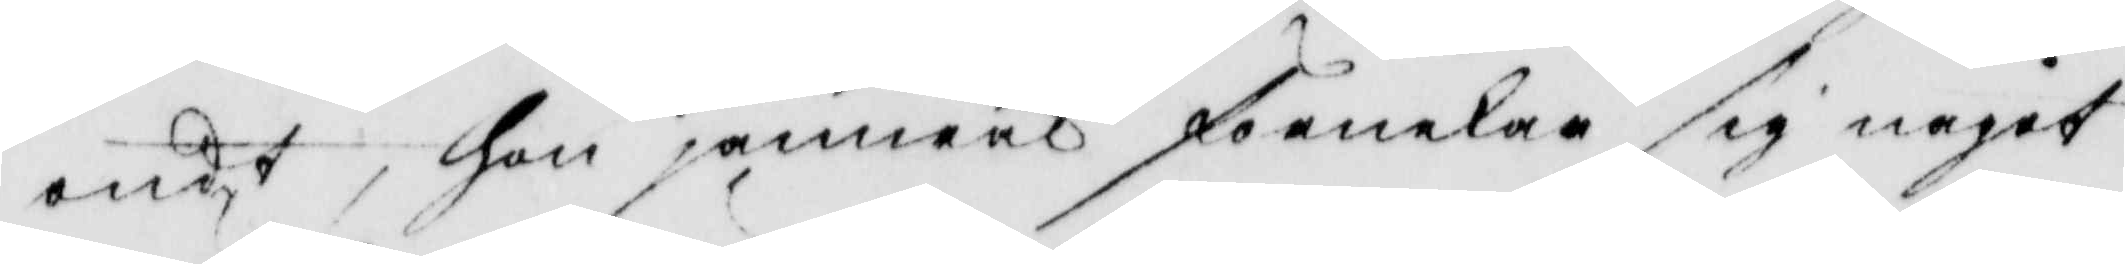ondt, hon jämwäl förnekade sig något
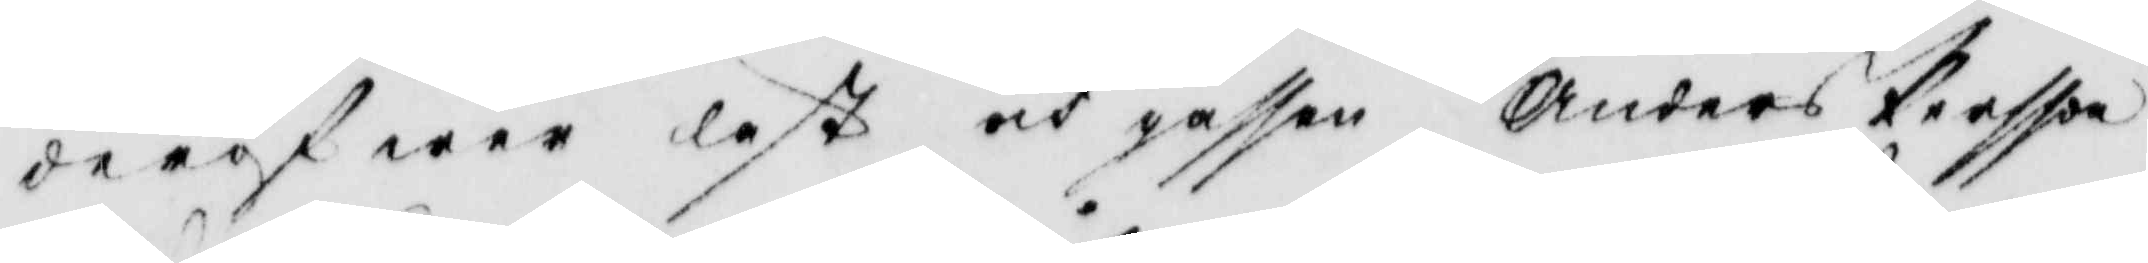deröfwer läst och gåssen Anders Persson
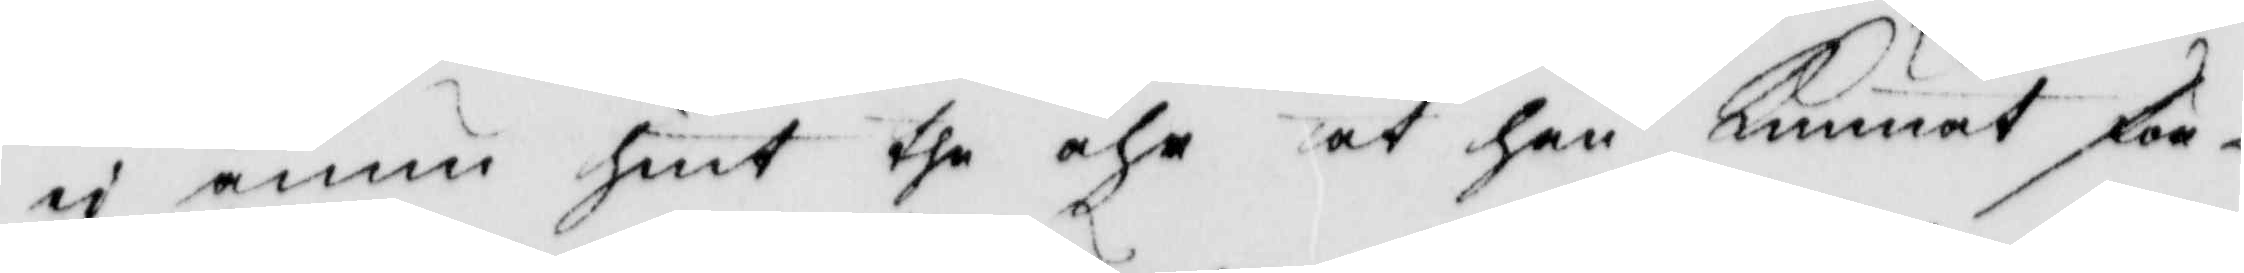ei ännu hint the åhr at han Kunnat för¬
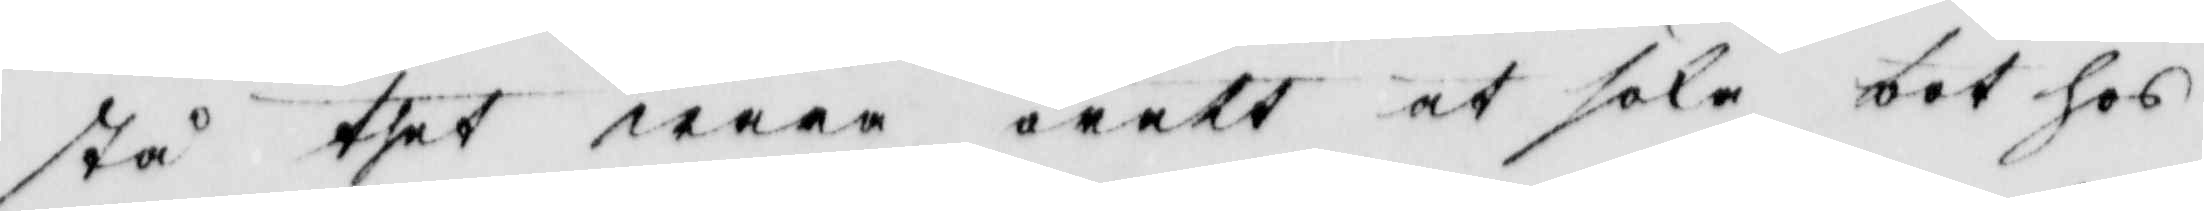stå thet wara orätt at söka bot hos
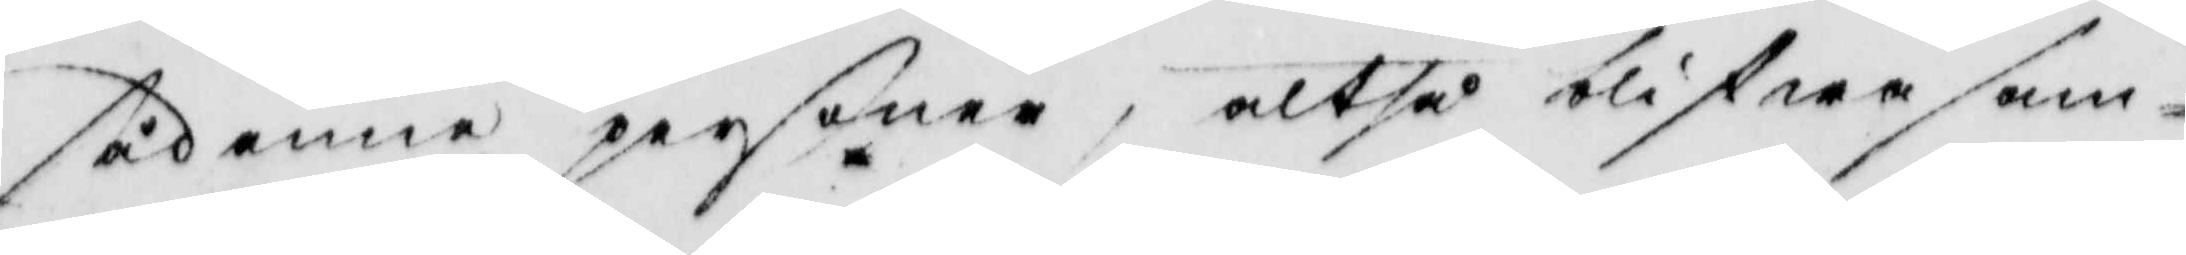sådanna personer, altså blifwer sam¬
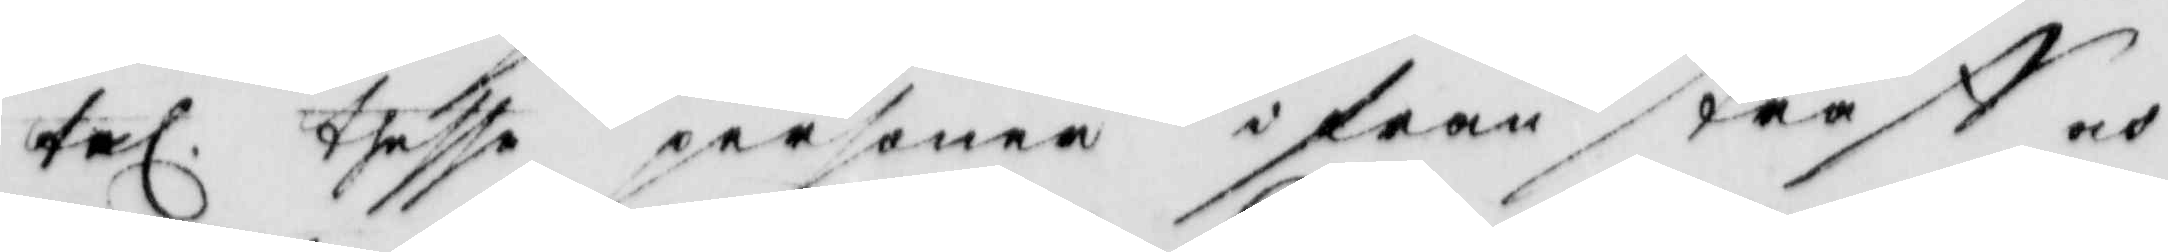tel. thesse personer ifrån straff och
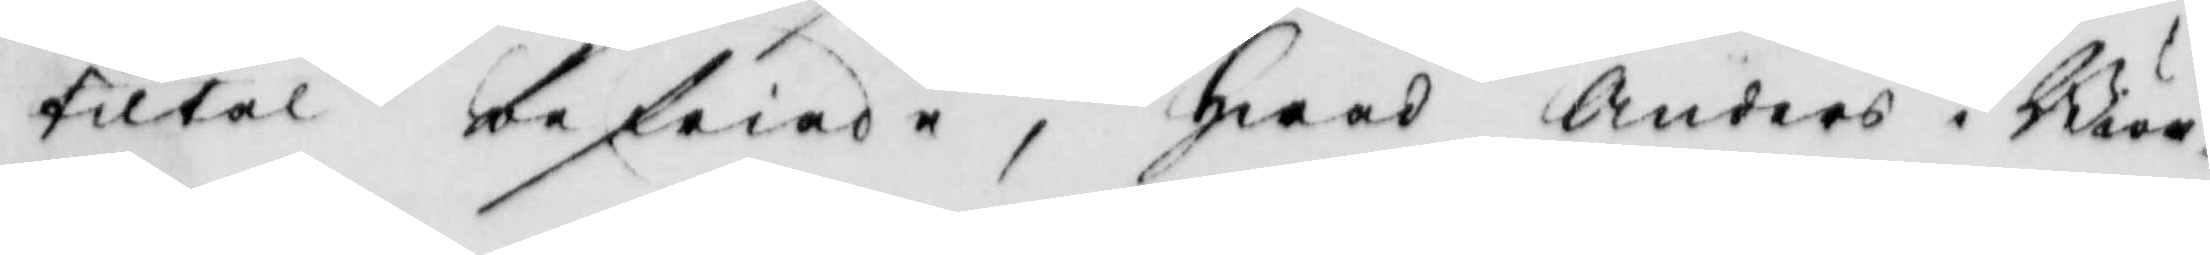tiltal befriade; hwad Anders i Biör¬
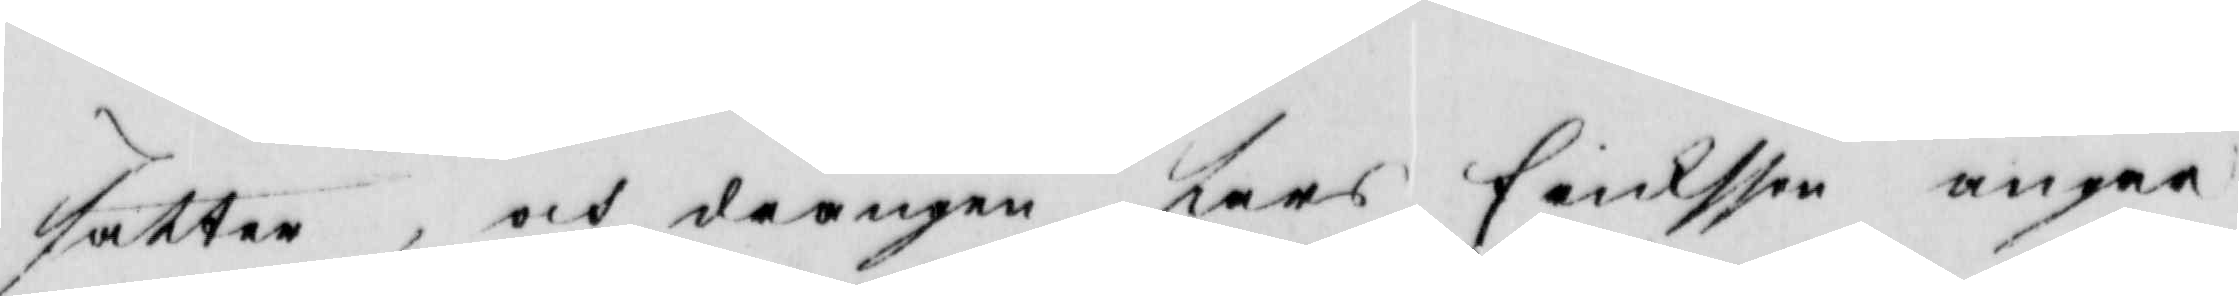sätter, och drängen Lars  Ericksson angår
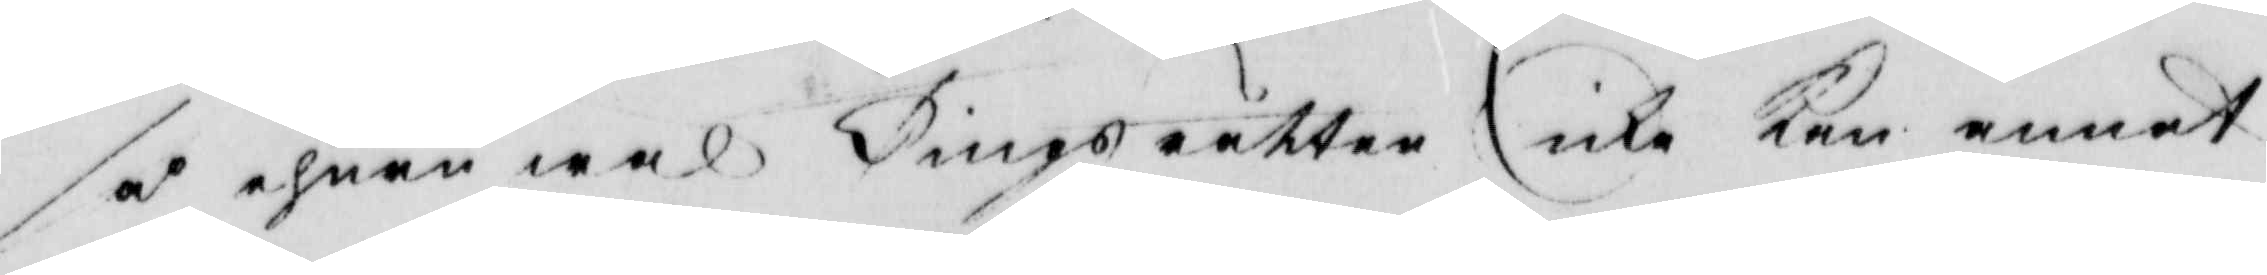så ehuru wäl Tingsrätten icke Kan annat
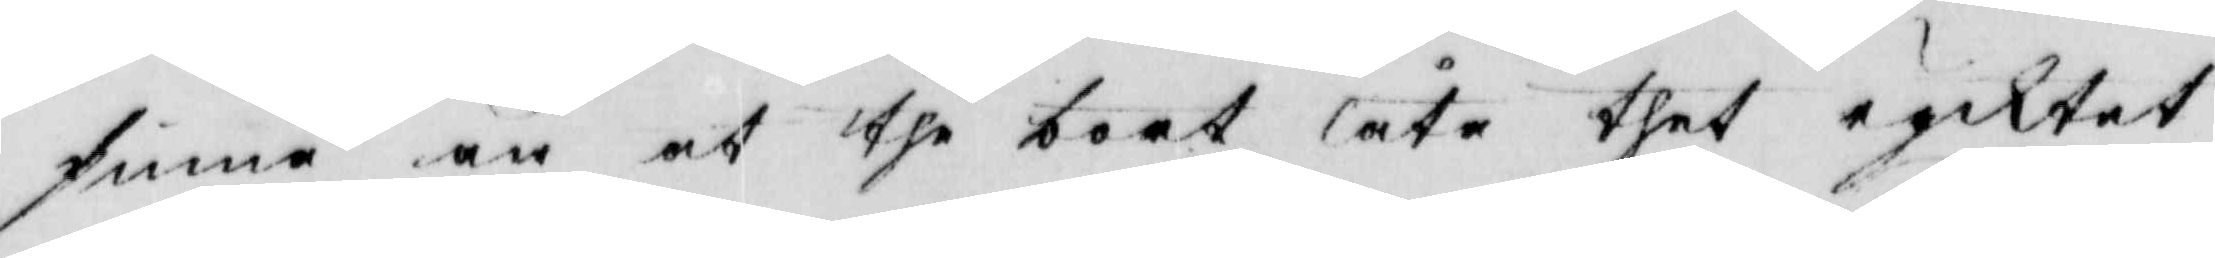finna än at the bort låta thet rycktet
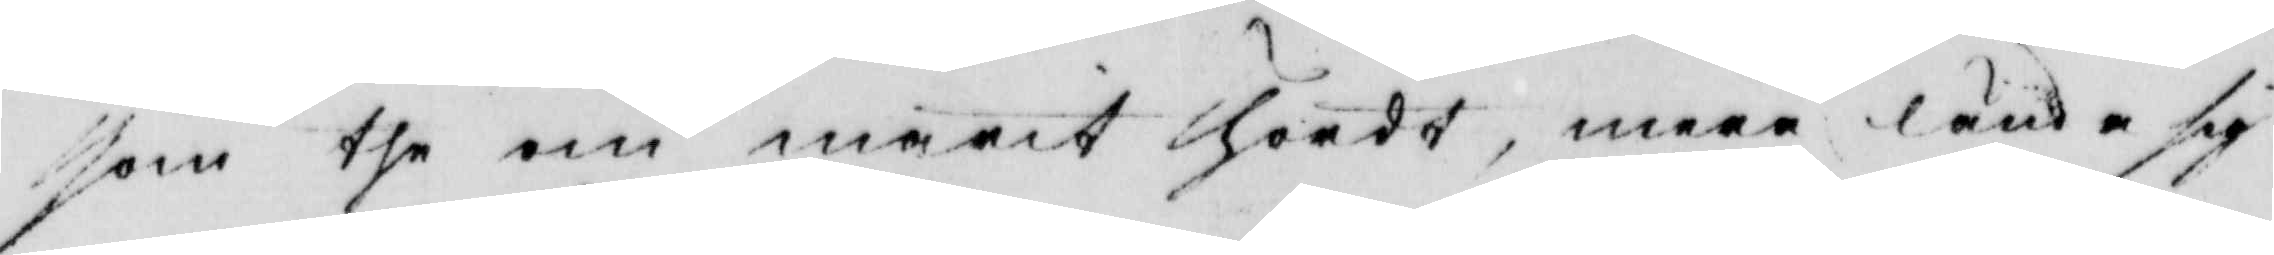som the om marit hördt, mera lända sig
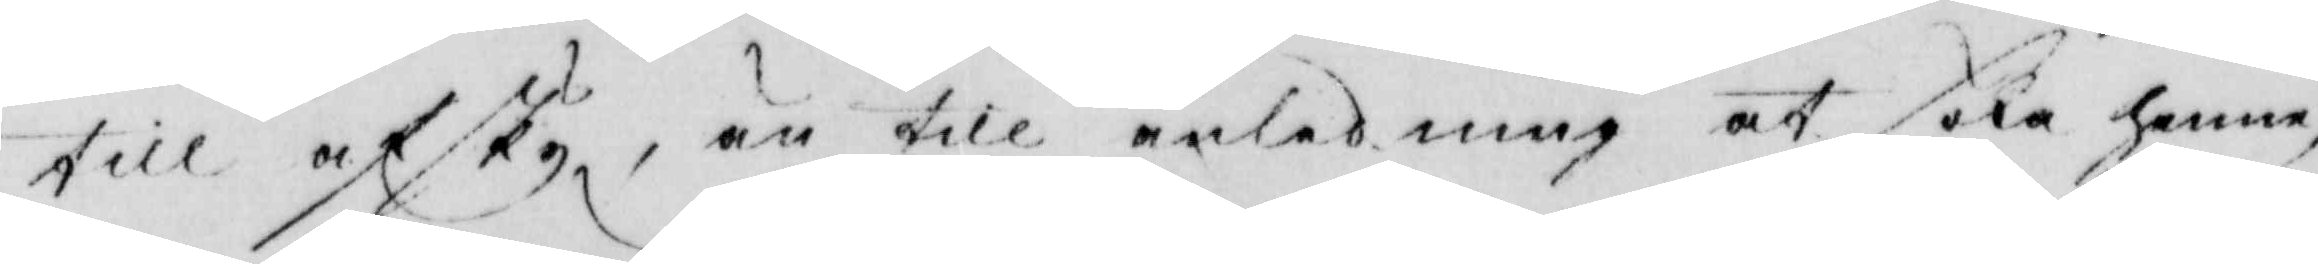till afsky, än till anledning at söka henne,
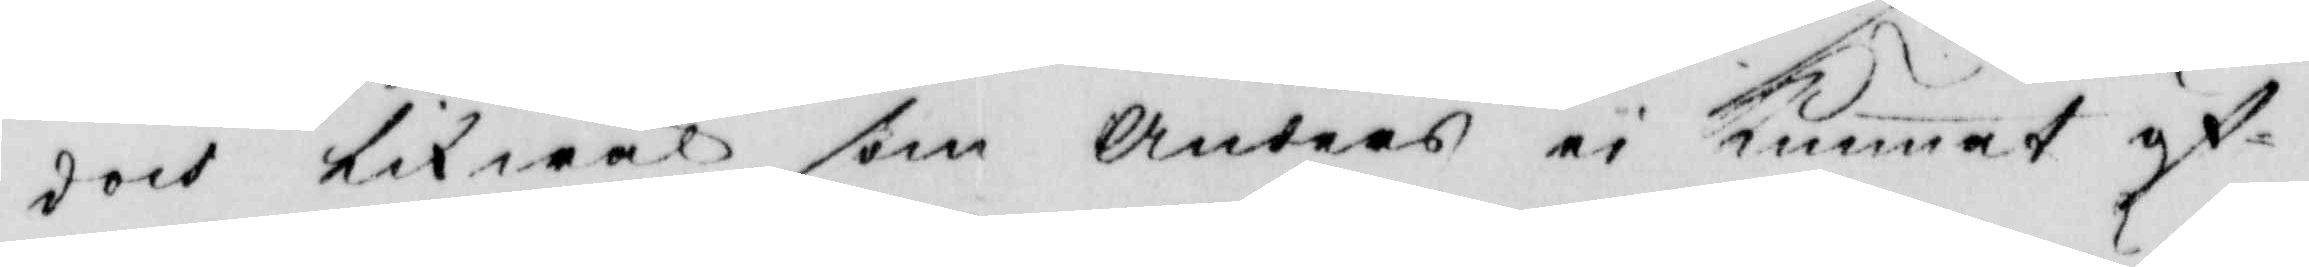doch likwäl som Anders ei Kunnat öf¬
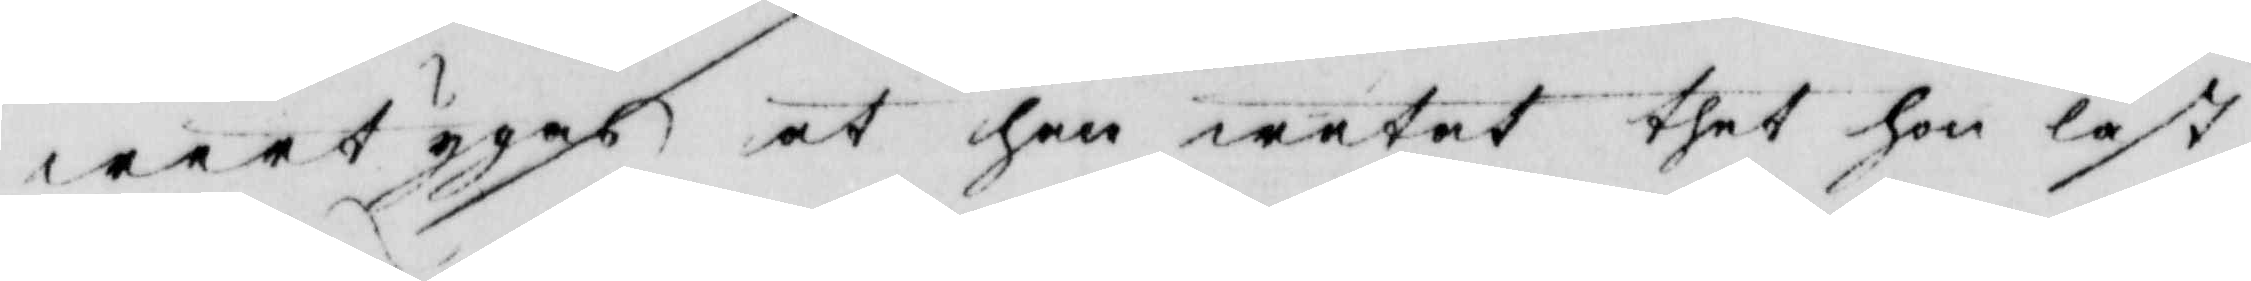wertygas at han wetat thet hon läst
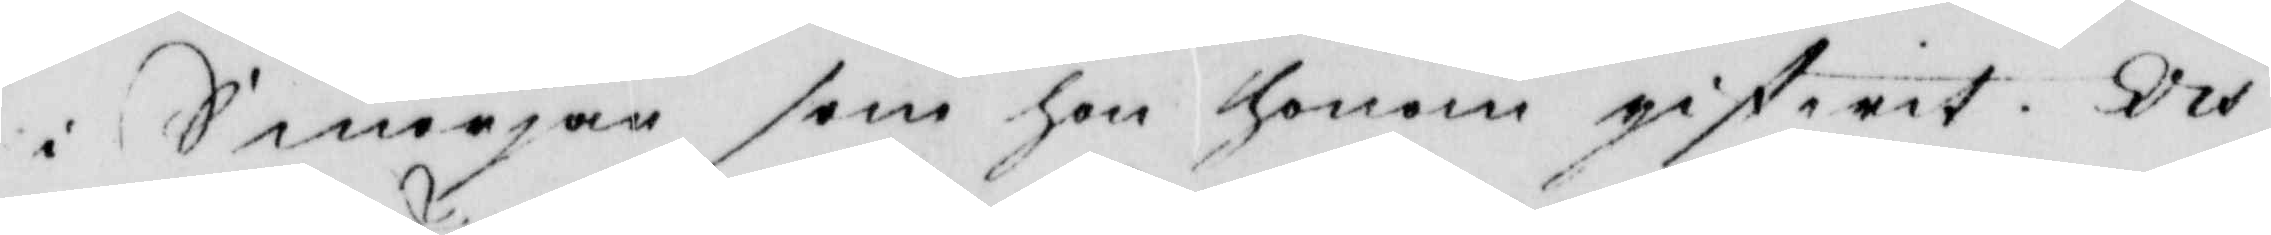i Smörjan som hon honom gifwit. och
